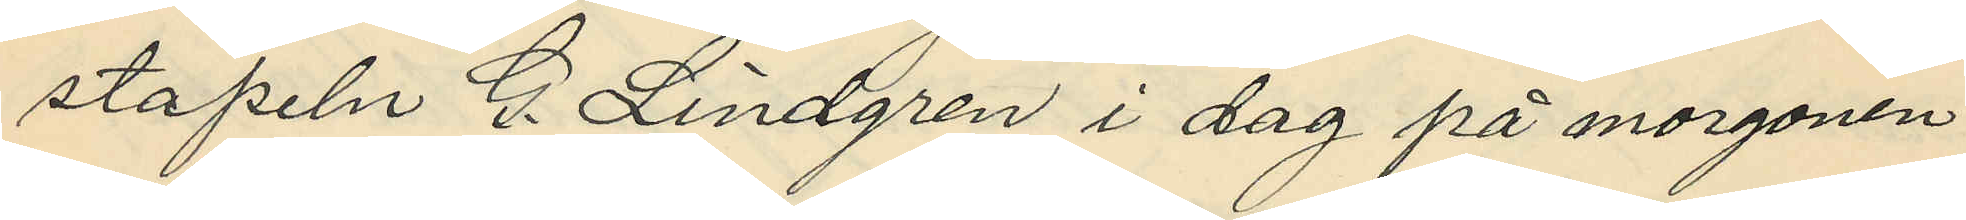stapeln G. Lindgren i dag på morgonen
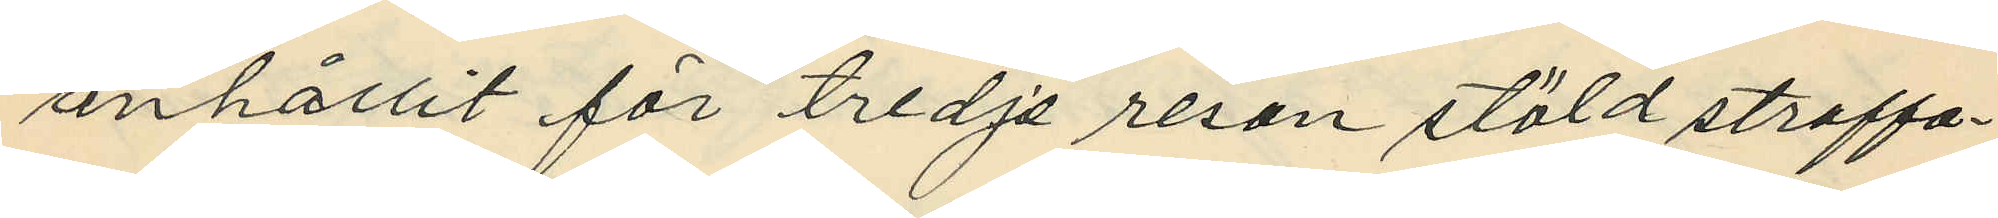anhållit för tredje resan stöld straffa¬
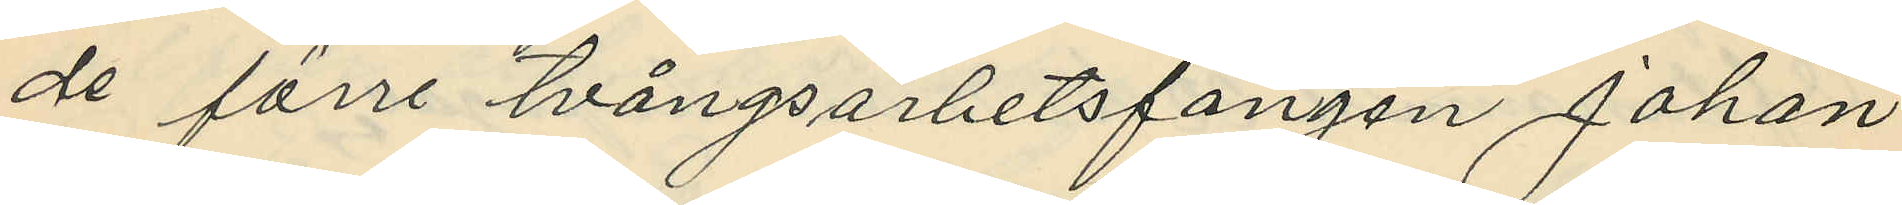de förre tvångsarbetsfången Johan
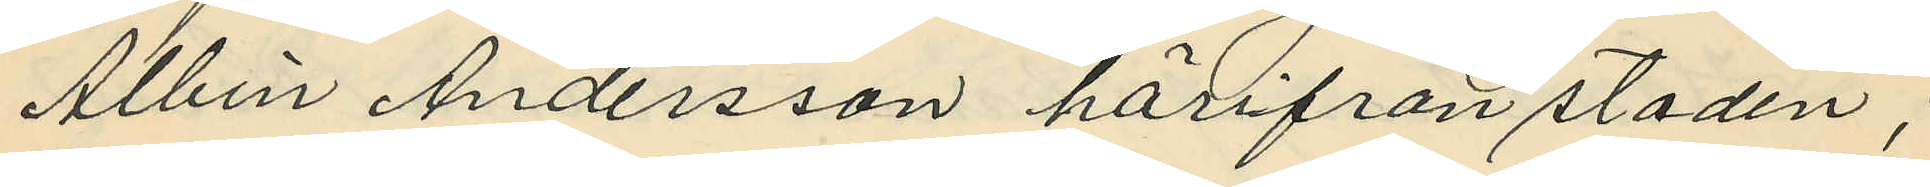Albin Andersson härifrån staden;
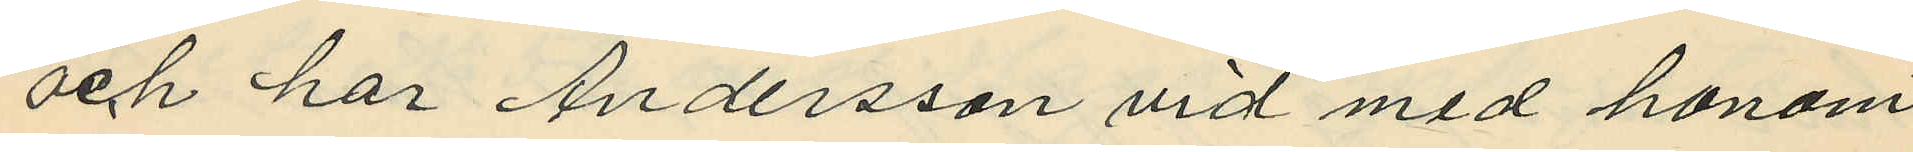och har Andersson vid med honom
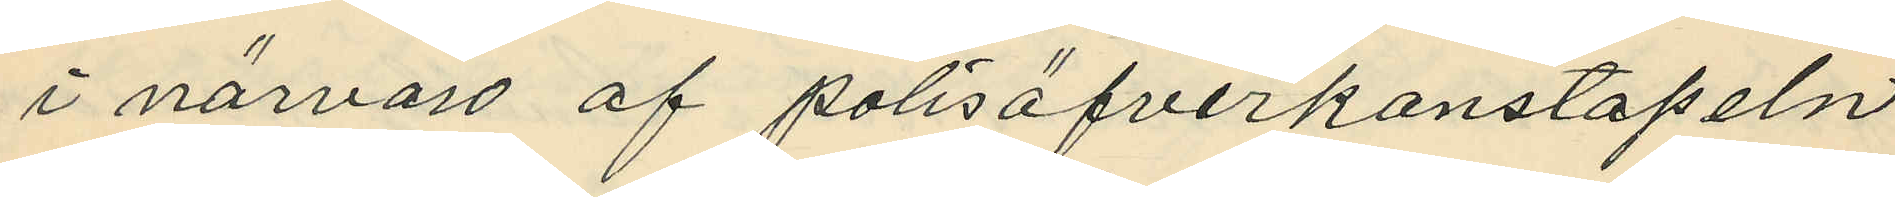i närvaro af polisöfverkonstapeln
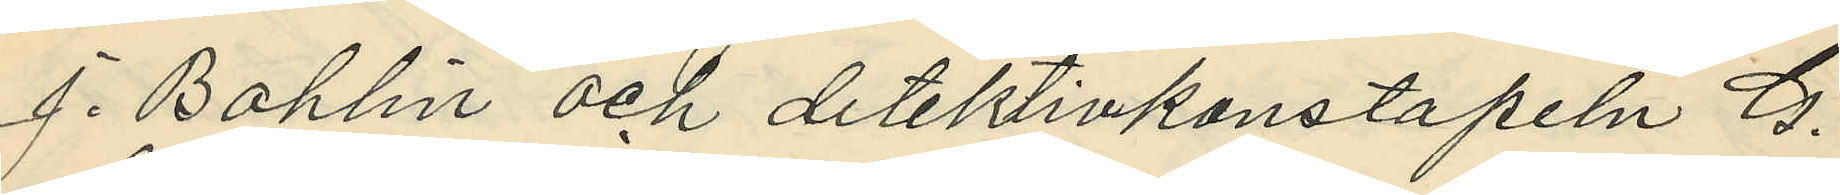J. Bohlin och detektivkonstapeln G.
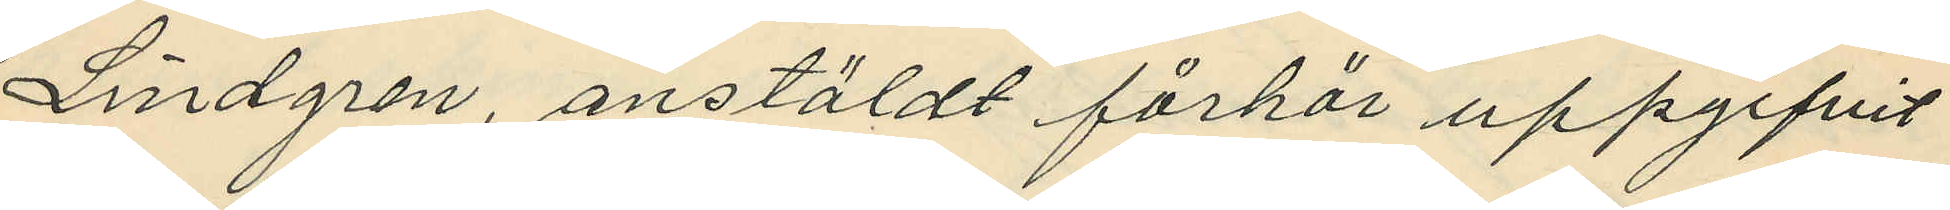Lindgren, anstäldt förhör uppgifvit
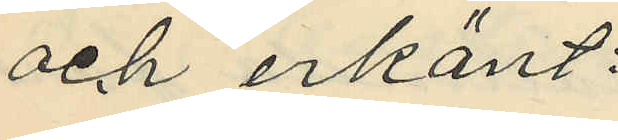och erkänt:
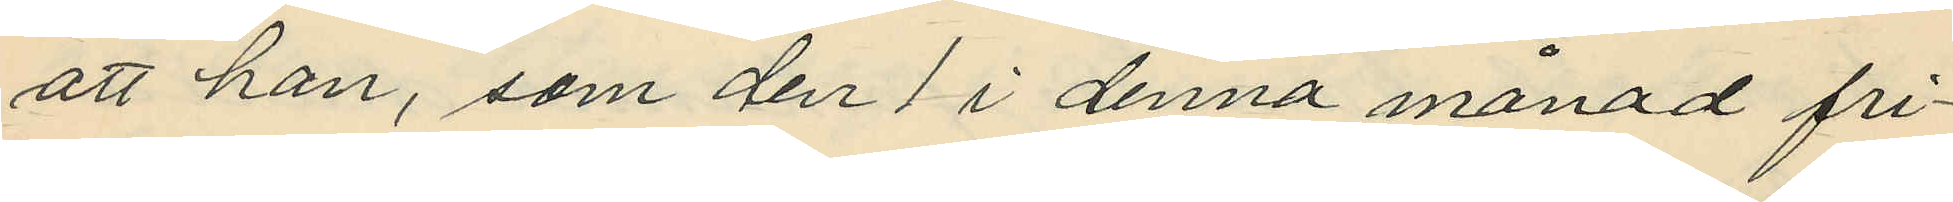att han, som den 1 i denna månad fri¬
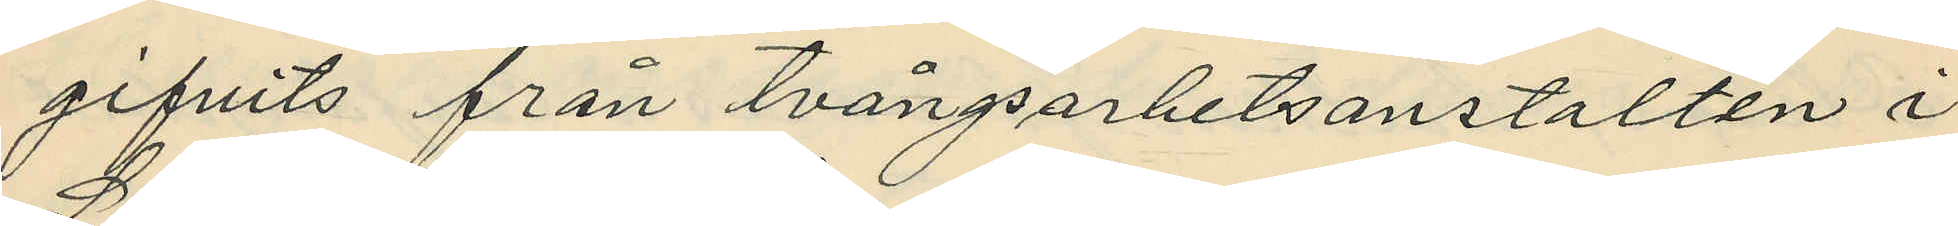gifvits från tvångsarbetsanstalten i
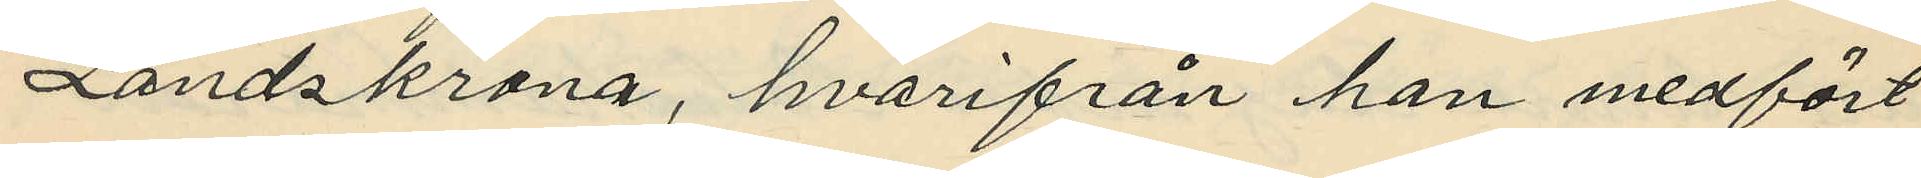Landskrona, hvarifrån han medfört
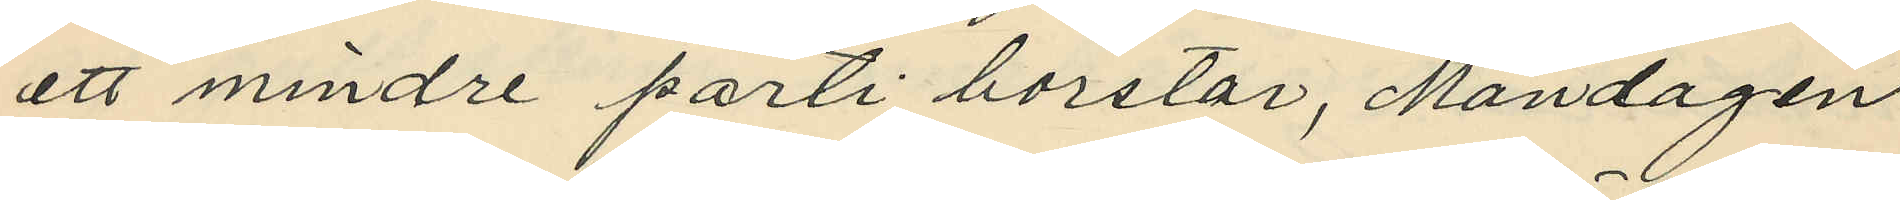ett mindre parti borstar, Måndagen
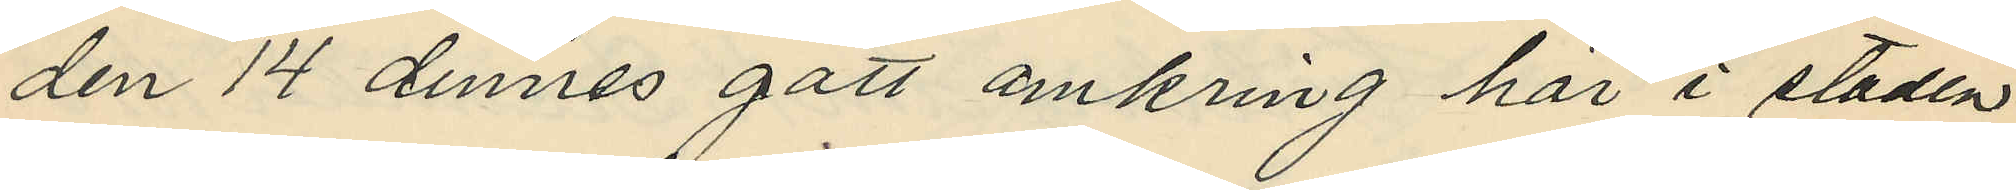den 14 dennes gått omkring här i staden
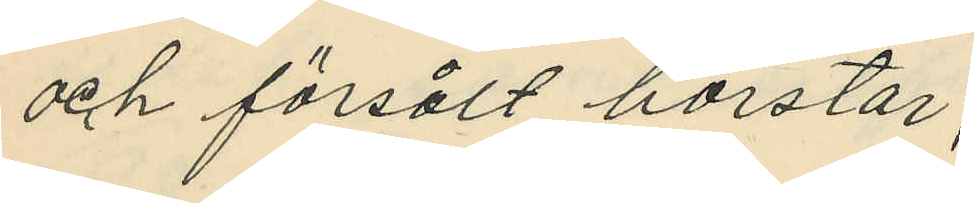och försålt borstar;
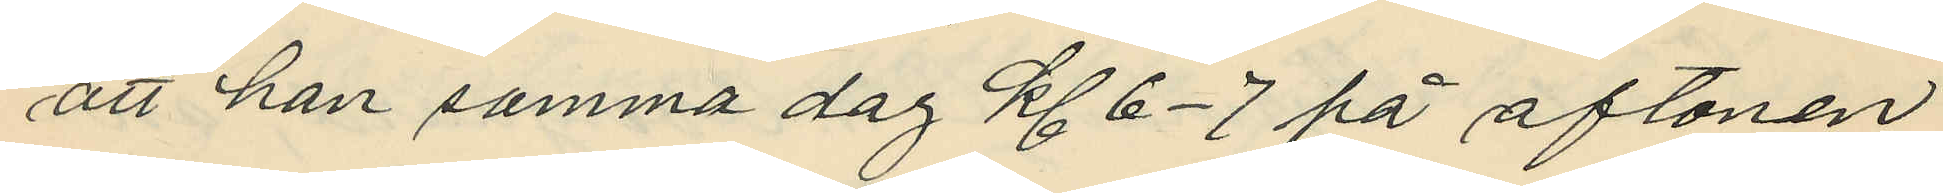att han samma dag kl. 6-7 på aftonen
